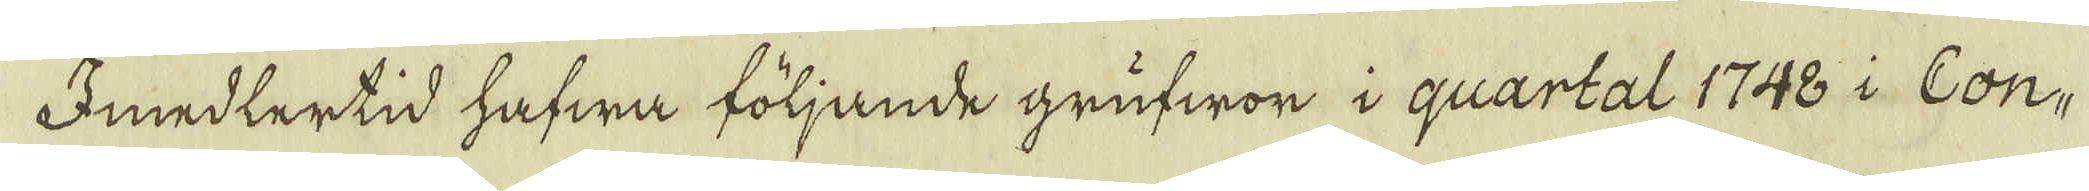Imedlertid hafwa följande grufwor i quartal 1748 i Con-
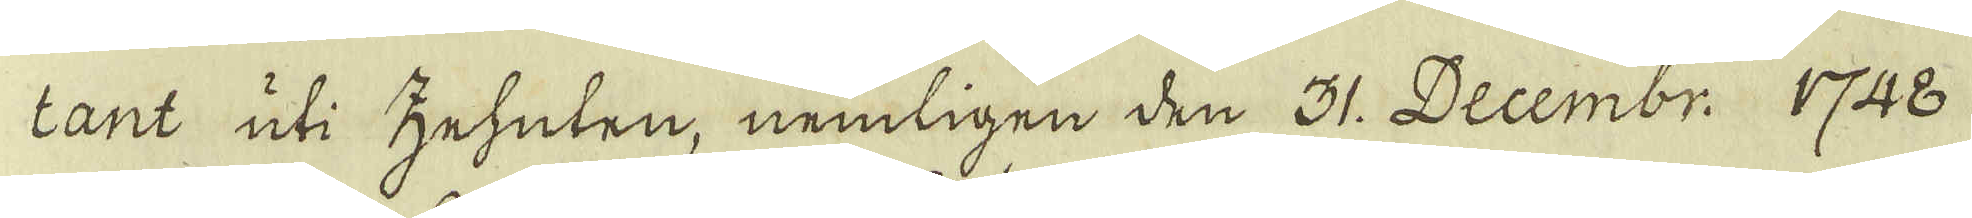tant uti zehuten, nemligen den 31. Decembr. 1748
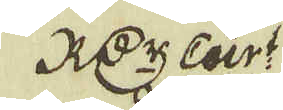R:dr Cur:t
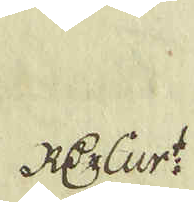R:dr Cur:t
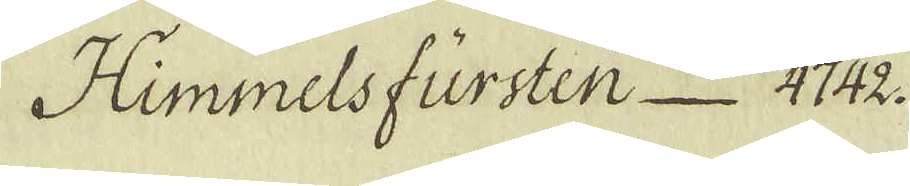Himmelsfursten 4742.
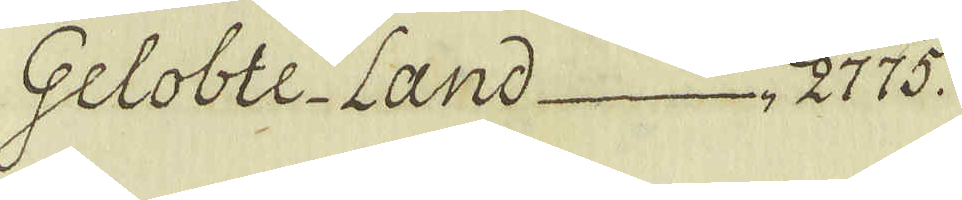Geloble-Land 2775.
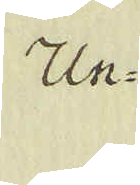Un-
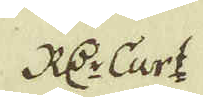R d:r Curt
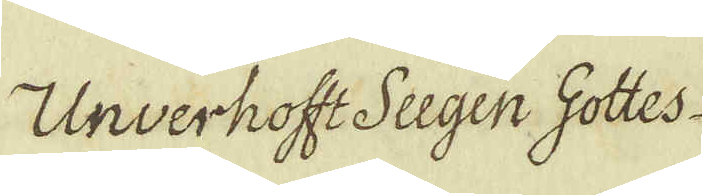Unverhofft Sugen Gottes
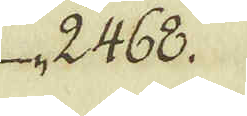2468.
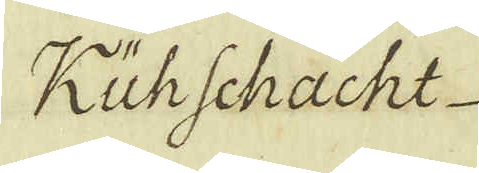Kühschacht
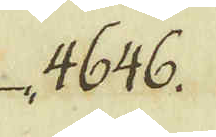4646.
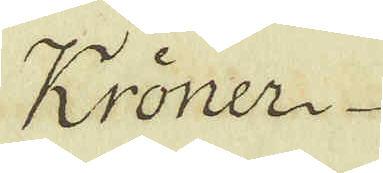Krönern
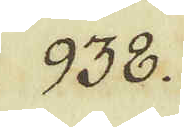938.
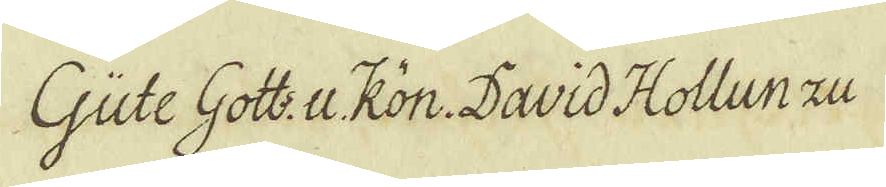Güte Gott: u.Kön. David Hollun Zu
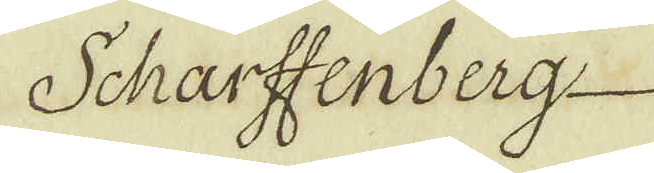Scharffenberg
